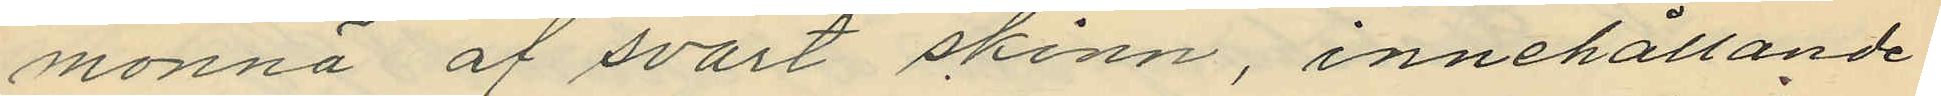monnä af svart skinn, innehållande
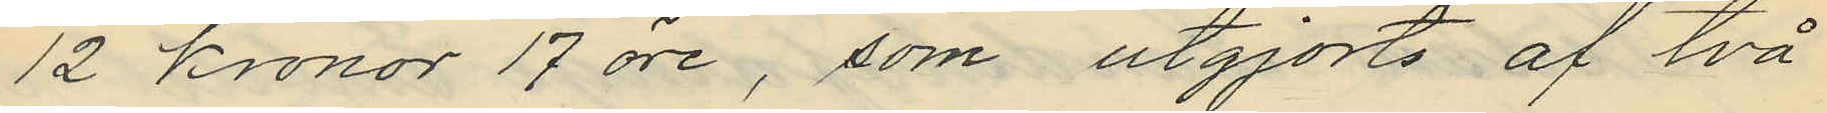12 kronor 17 öre, som utgjorts af två
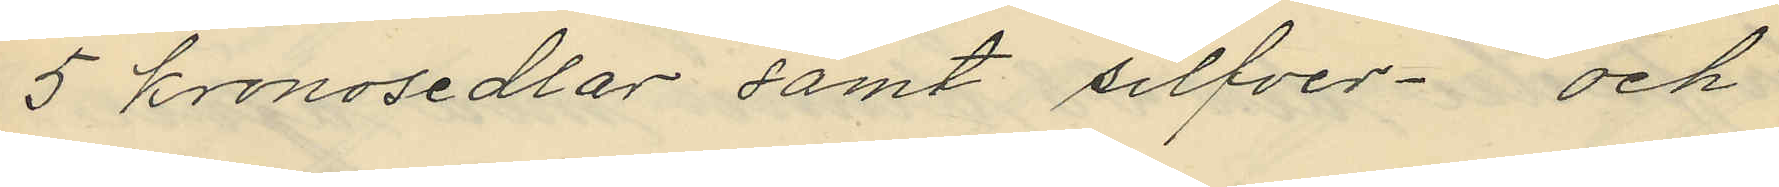5 kronosedlar samt silfver och
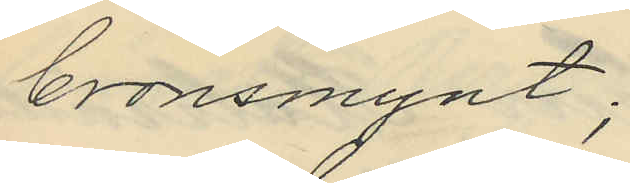bronsmynt;
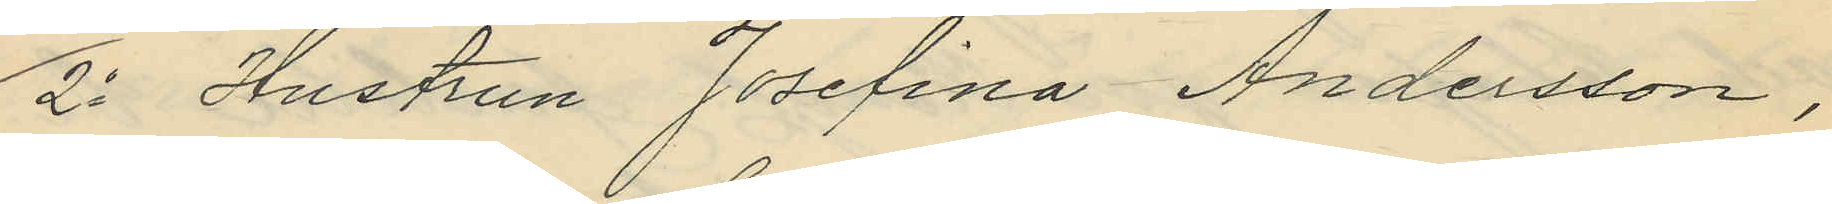2o Hustrun Josefina Andersson,
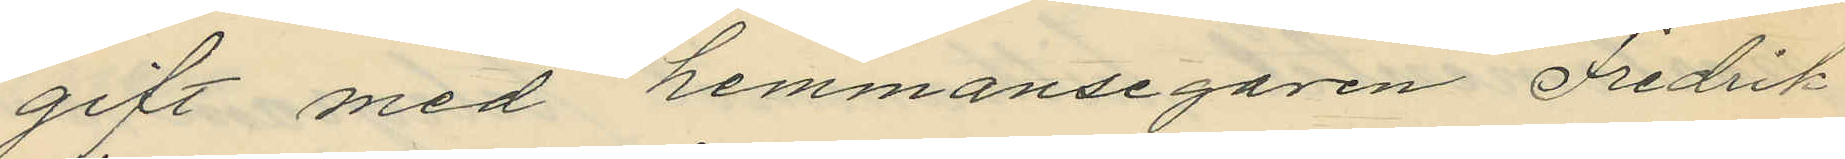gift med hemmansegaren Fredrik
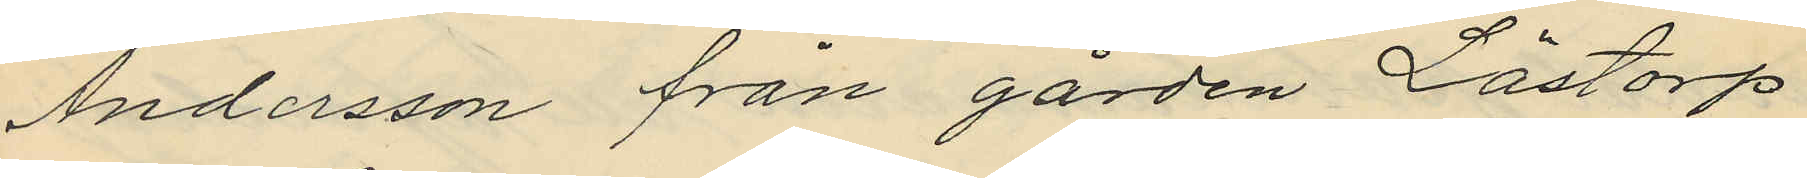Andersson från gården Löstorp
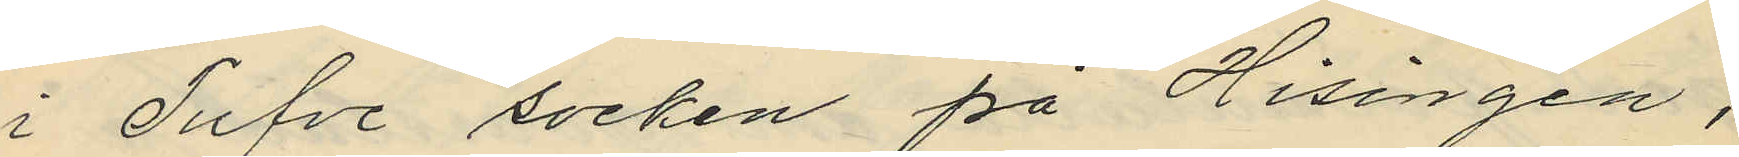i Tufve socken på Hisingen,
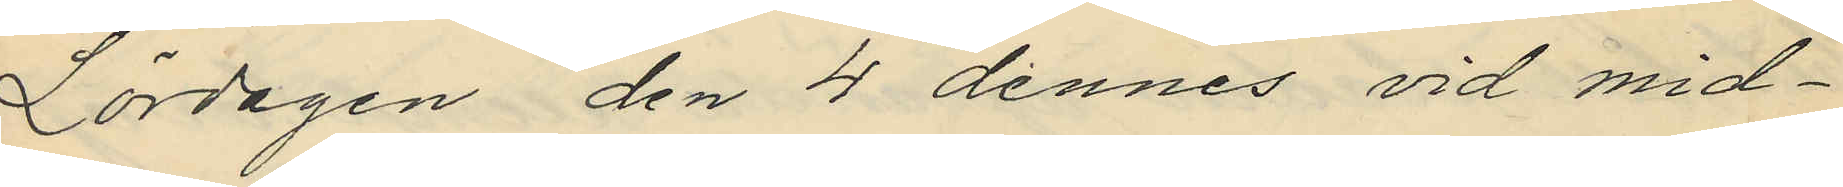Lördagen den 4 dennes vid mid¬
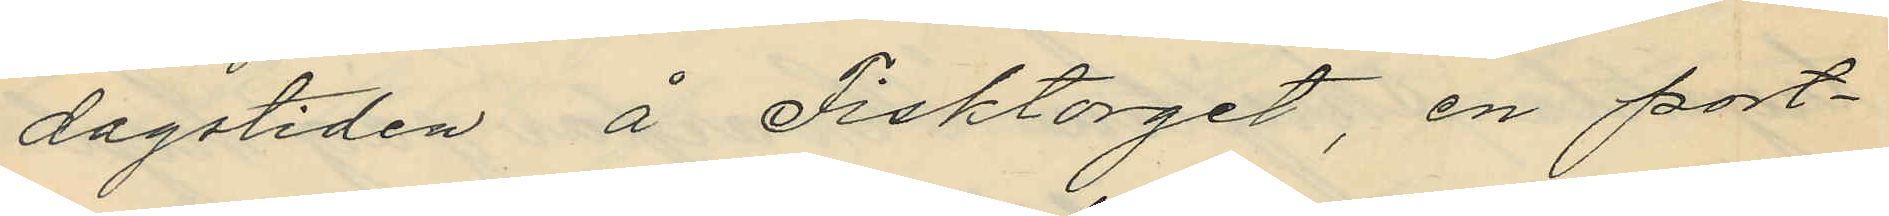dagstiden å Fisktorget, en port¬
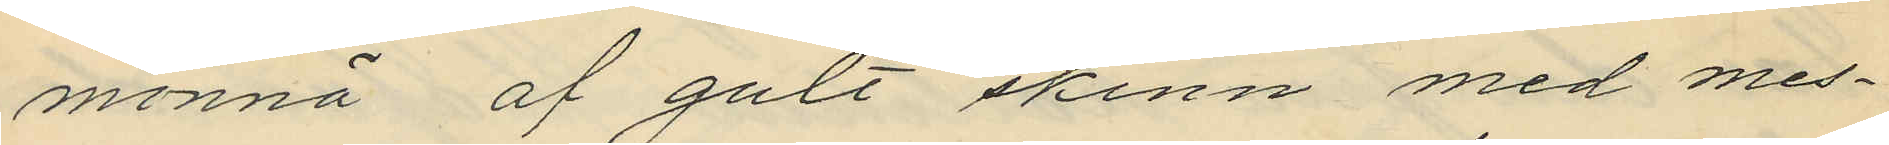monnä af gult skinn med mes¬
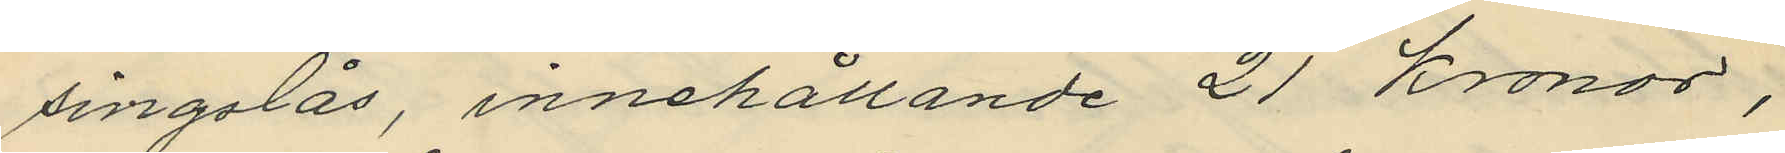singslås, innehållande 21 Kronor,
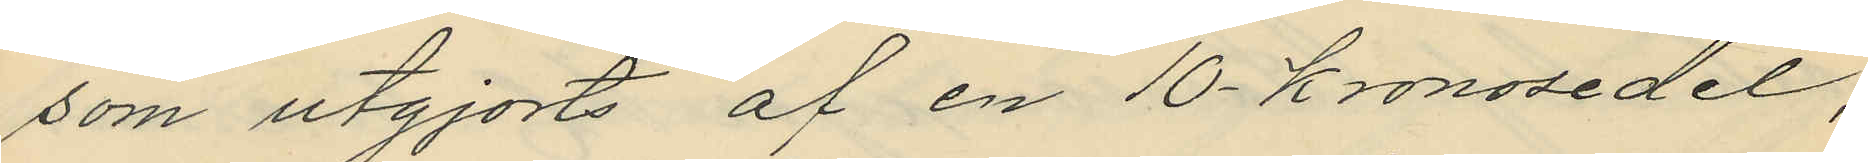som utgjorts af en 10 kronosedel,
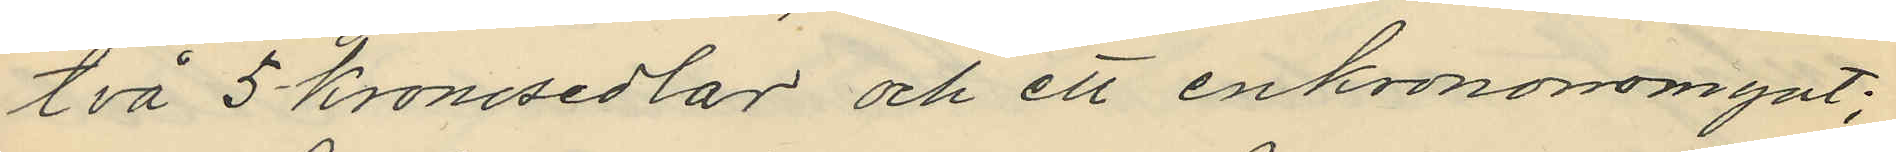två 5 kronosedlar och ett enkronorsmynt;
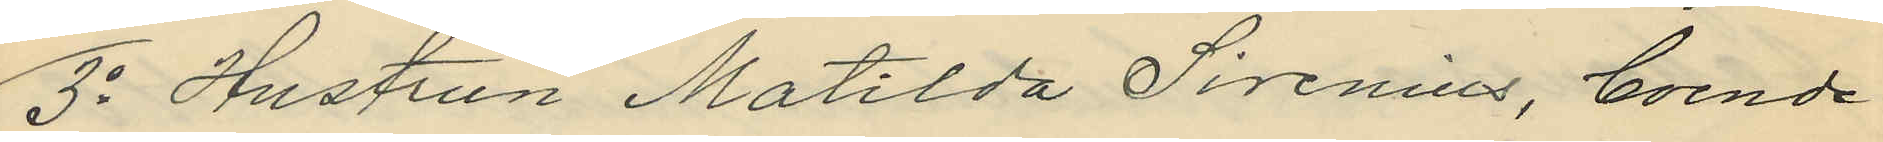3o Hustrun Matilda Sirenius, boende
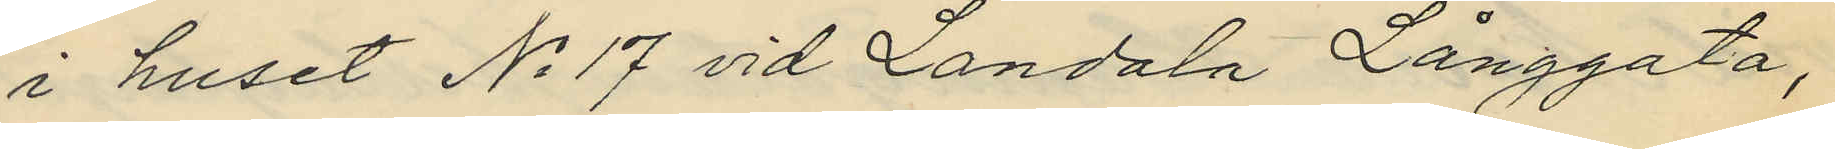i huset No 17 vid Landala Långgata,
